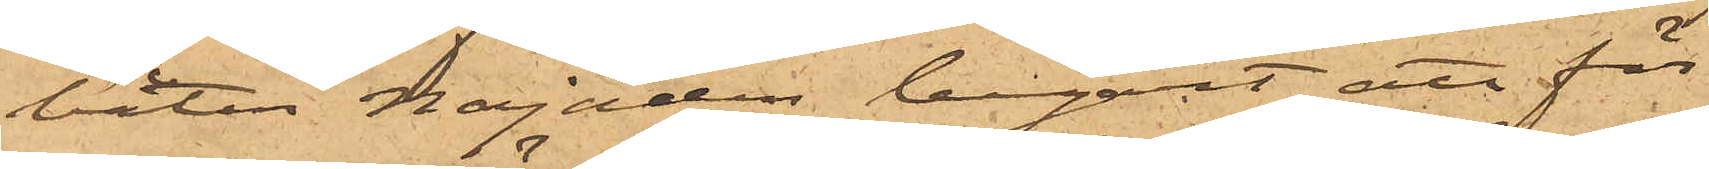båten Najaden begärt att för
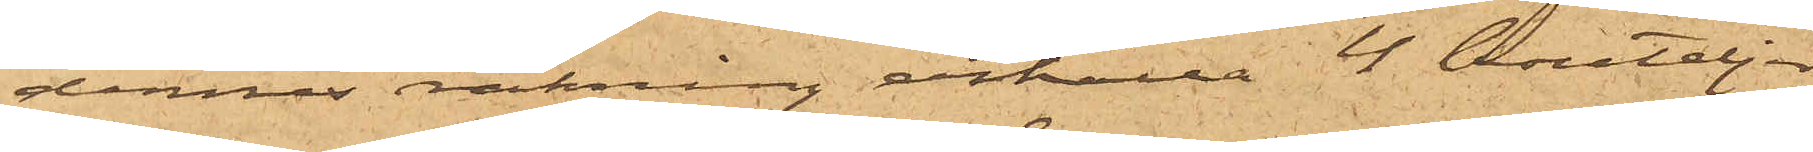dennes räkning erhålla 4 bouteljer
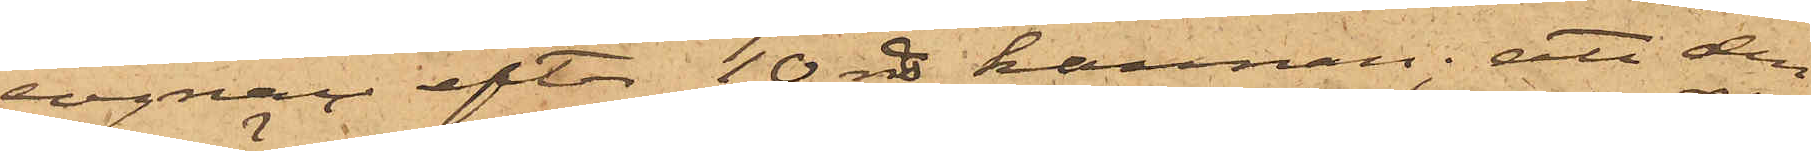cognac efter 10 rdr kannan; att den
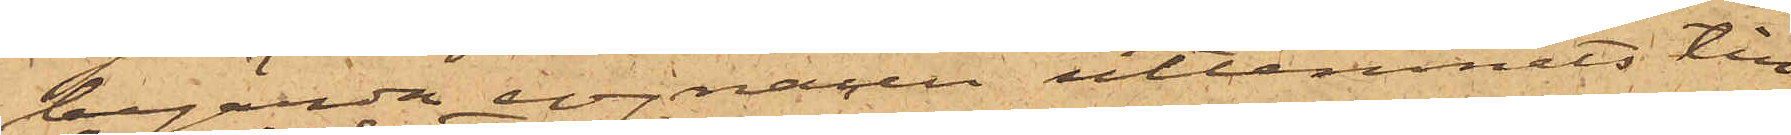begärda volymen utlemnats till
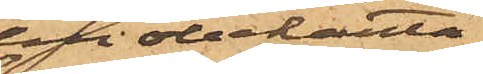den obekanta,
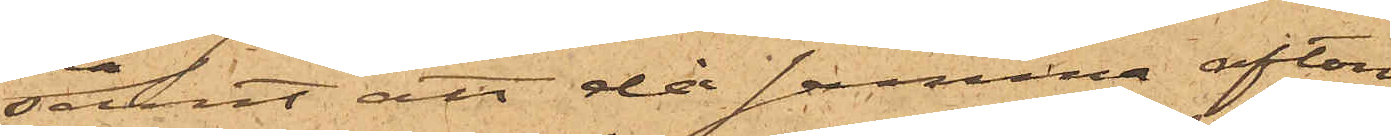samt att då samma afton
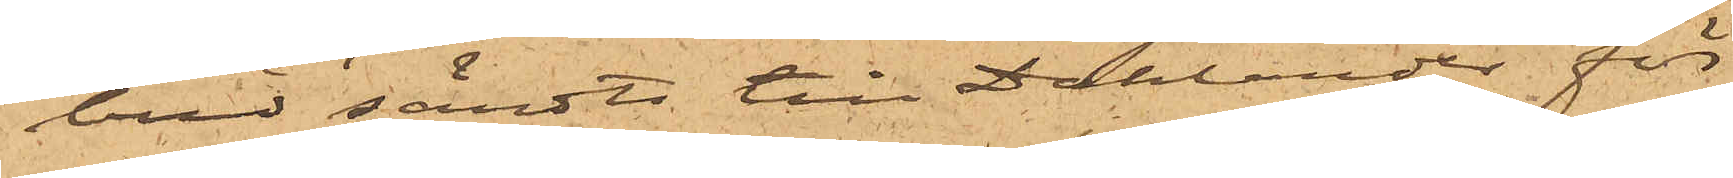bud sändts till Dahlander för
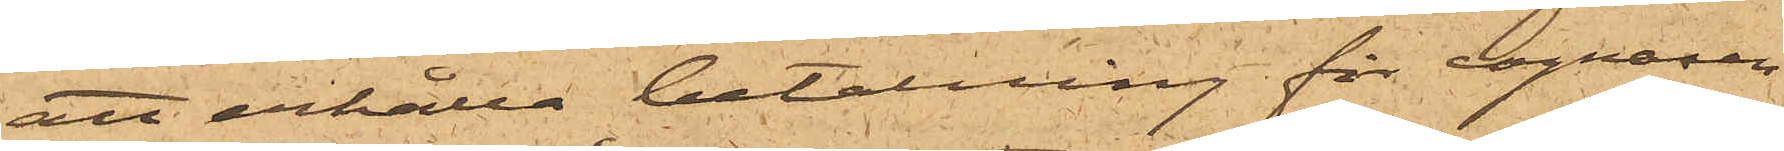att erhålla betalning för cognacen
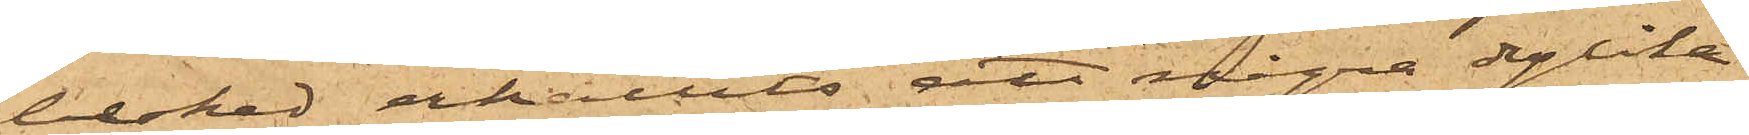besked erhållits att några dylika
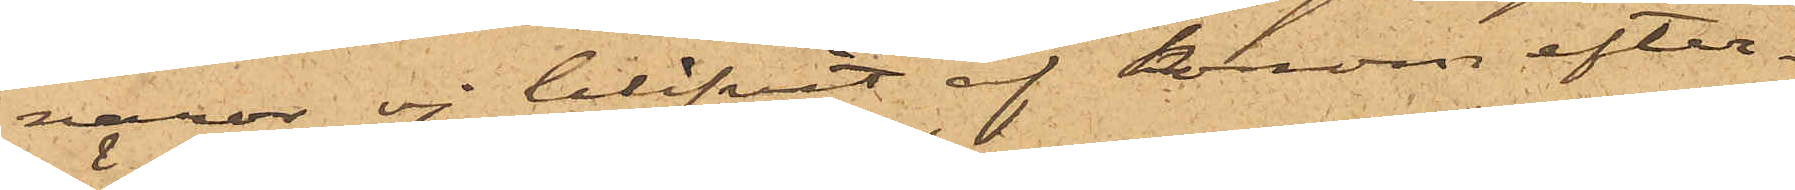varor ej blifvit af honom efter¬
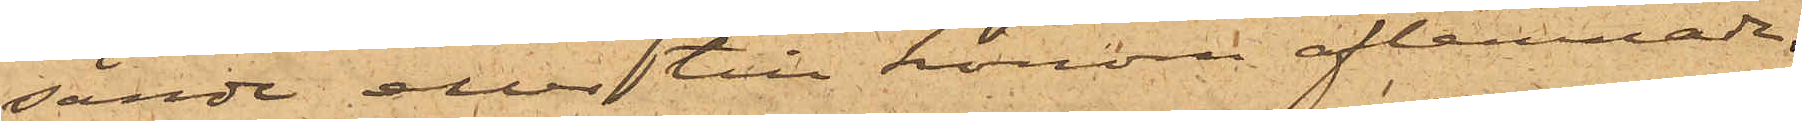sände eller till honom aflemnade.
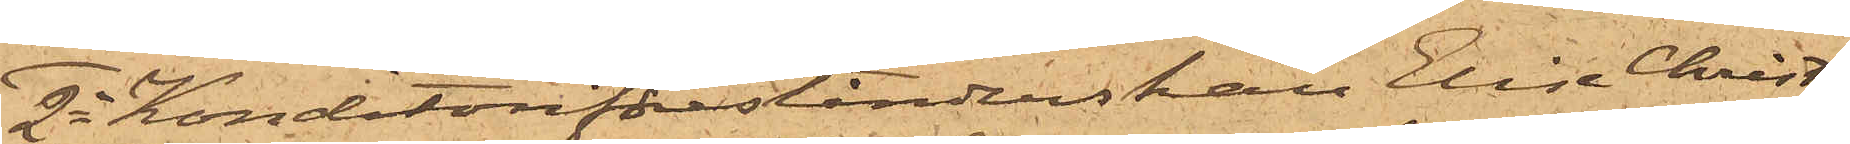2o Konditoriförestånderskan Elise Christ¬
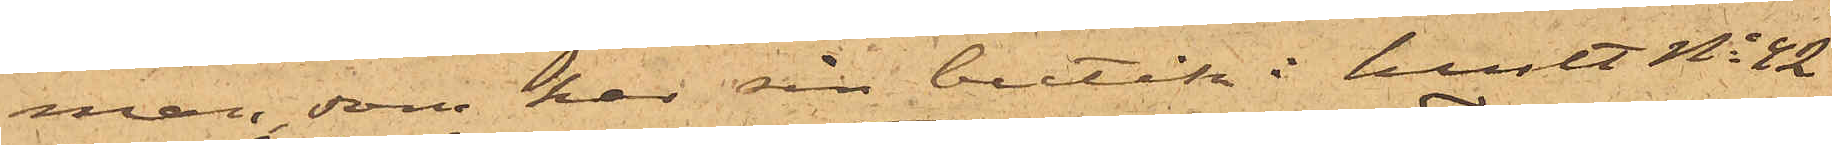man, som har sin butik i huset No 42
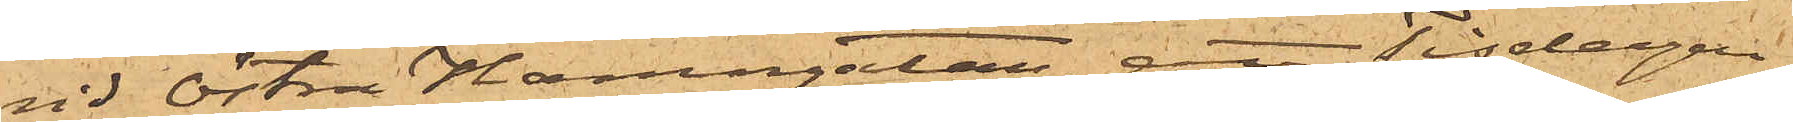vid Östra Hamngatan, att Tisdagen
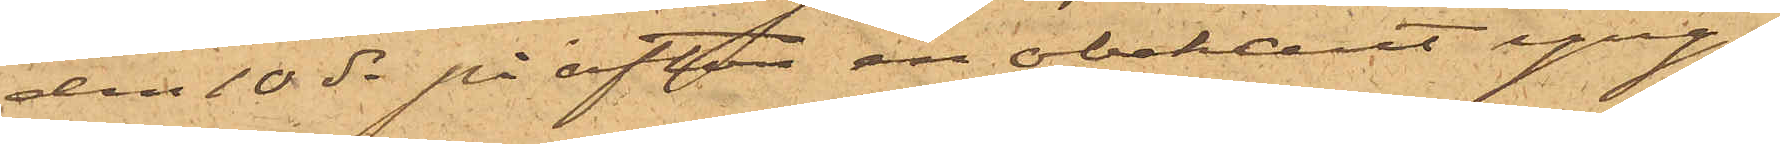den 10 ds på afton en obekant yng¬
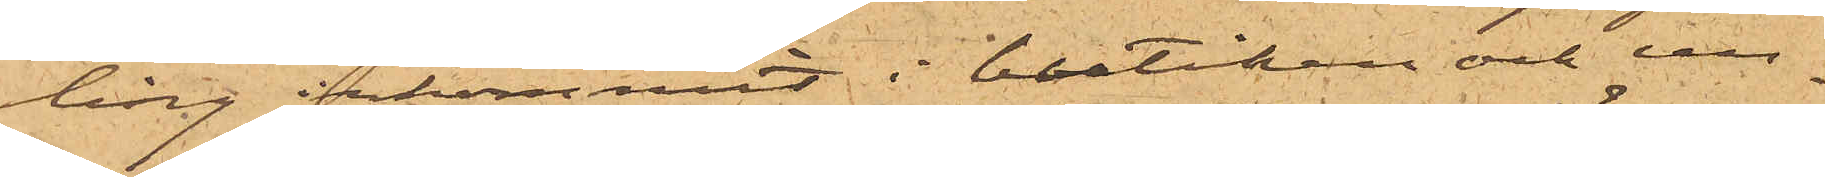ling inkommit i boutiken och un¬
